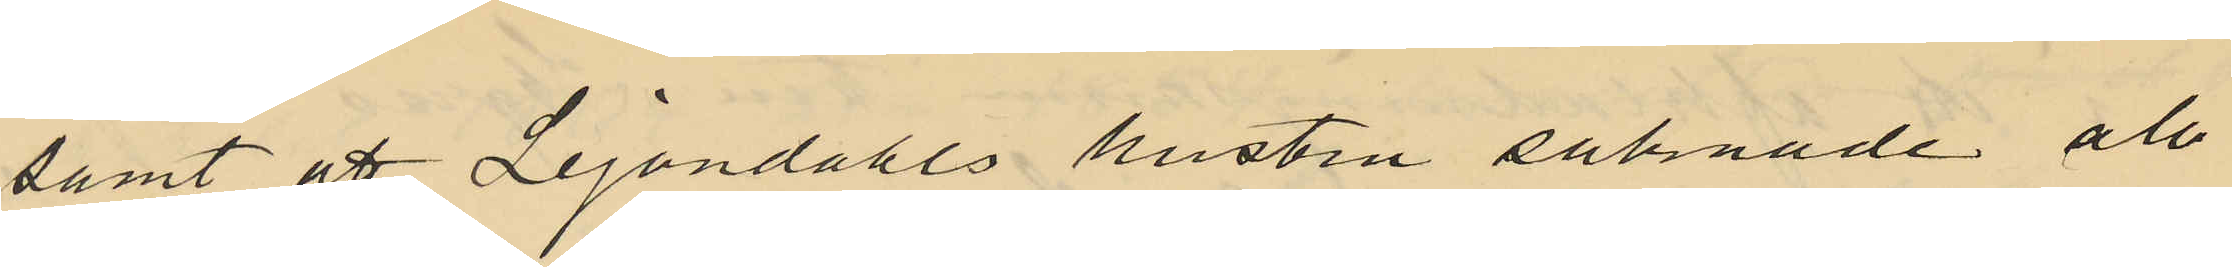samt att Lejondahls hustru saknade all
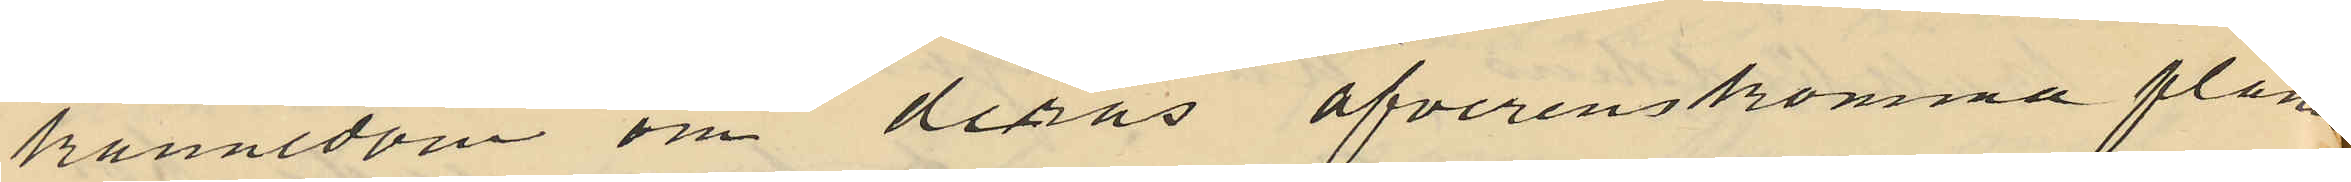kännedom om deras öfverenskomma planer
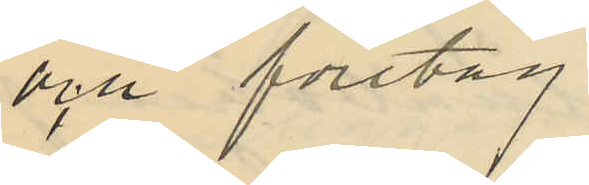och företag
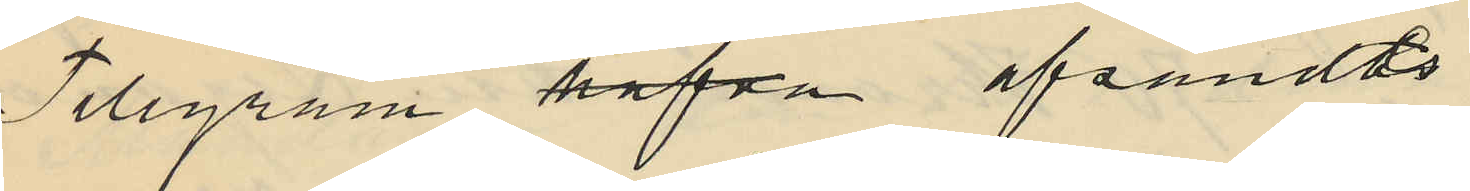Telegram hafva afsändts
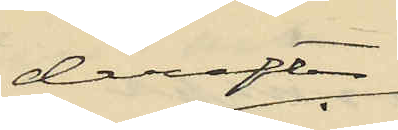derefter
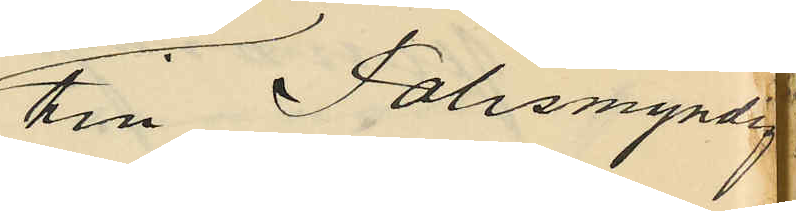till Polismyndig
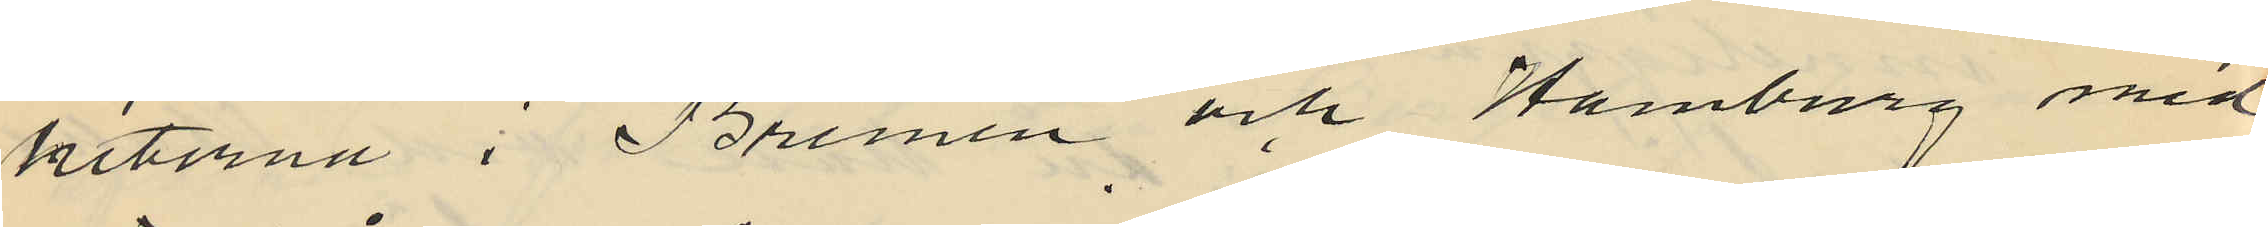heterna i Bremen och Hamburg med
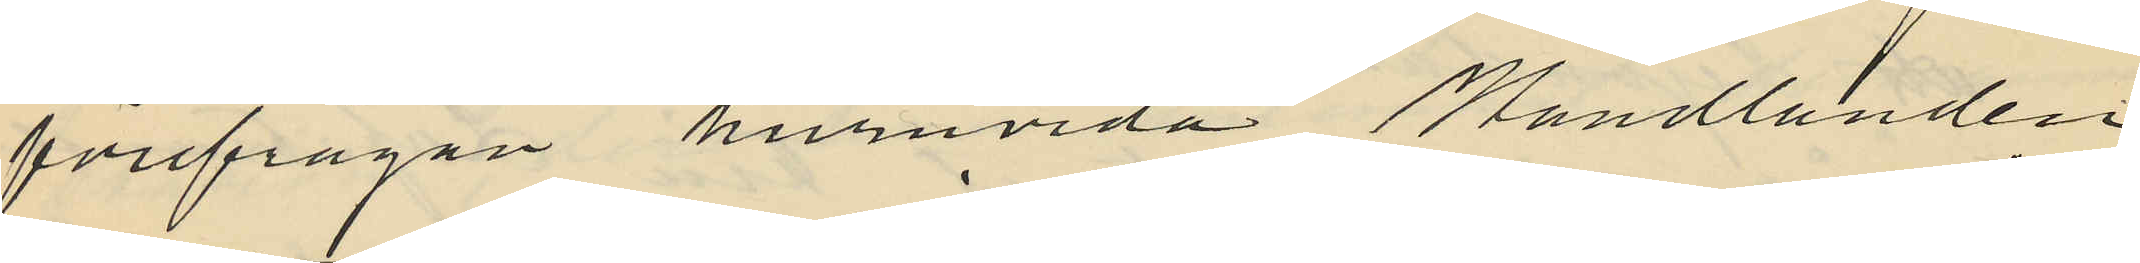förefrågan huruvida Handlanden
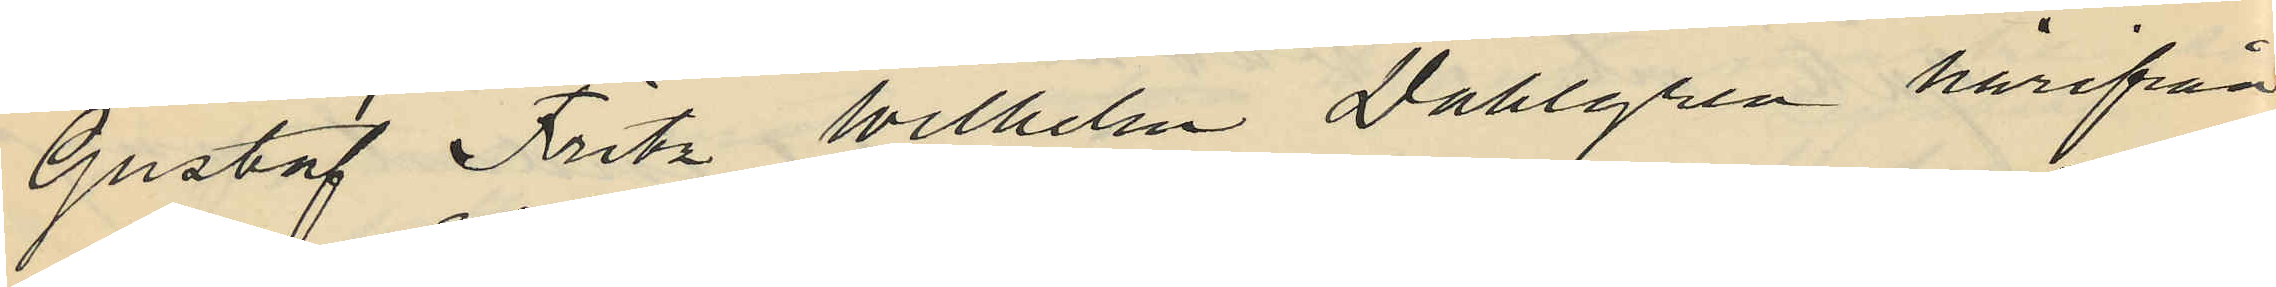Gustaf Fritz Wilhelm Dahlgren härifrån
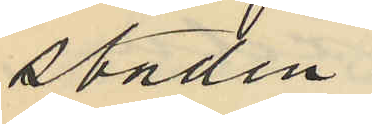staden
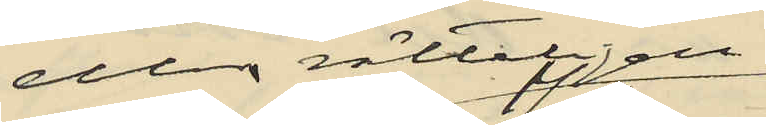eller rätteligen
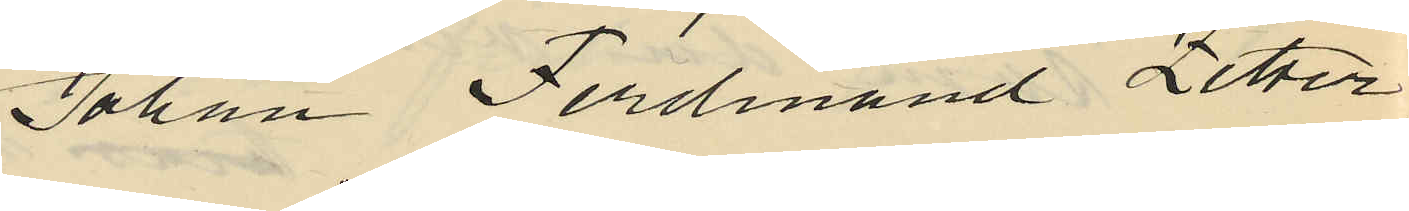Johan Ferdinand Zetter
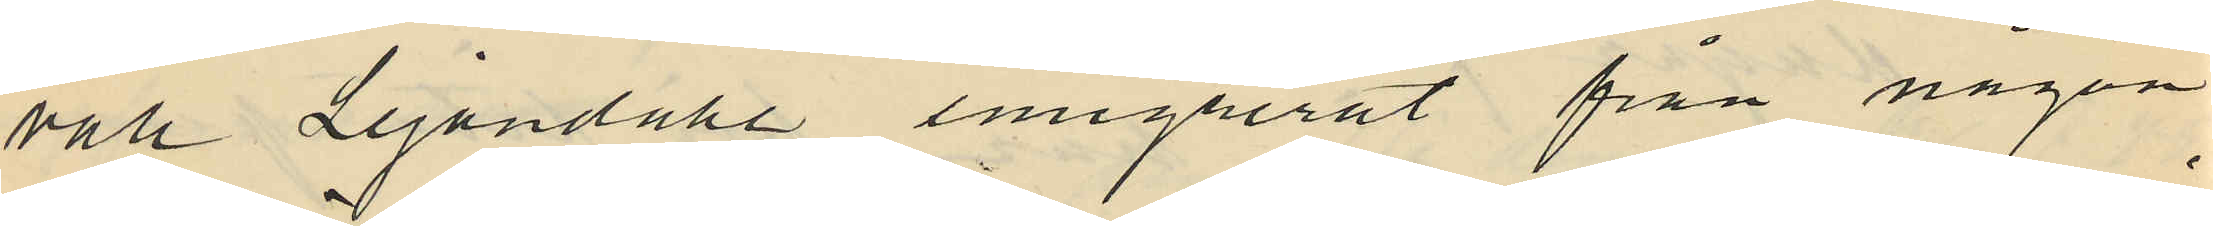vall Lejondahl emigrerat från någon
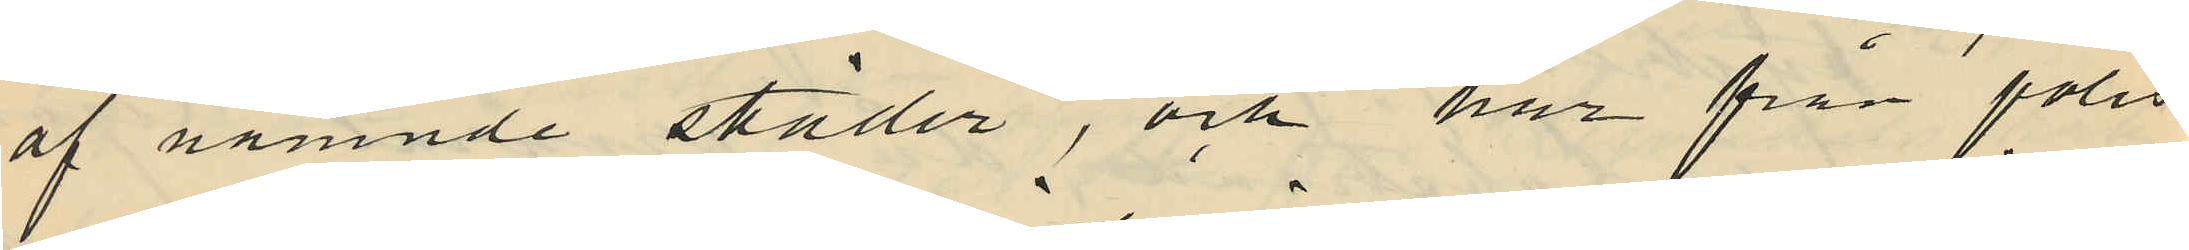af nämnde städer; och har från polis
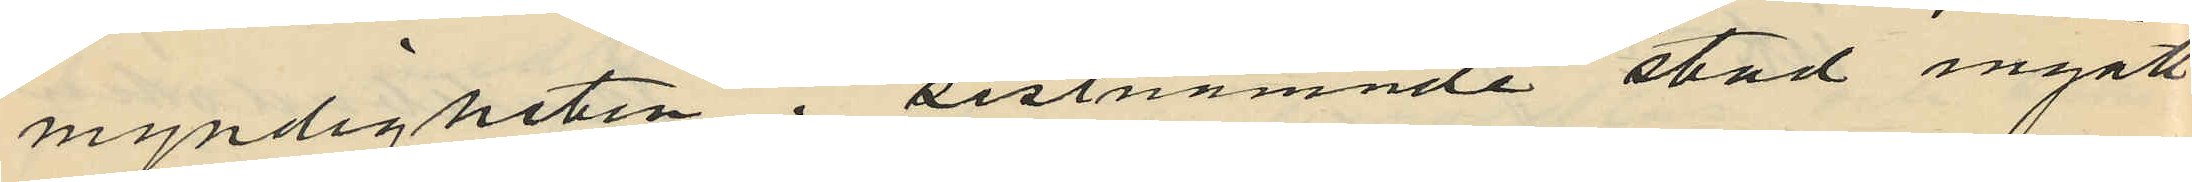myndigheten i sistnämnde stad ingått
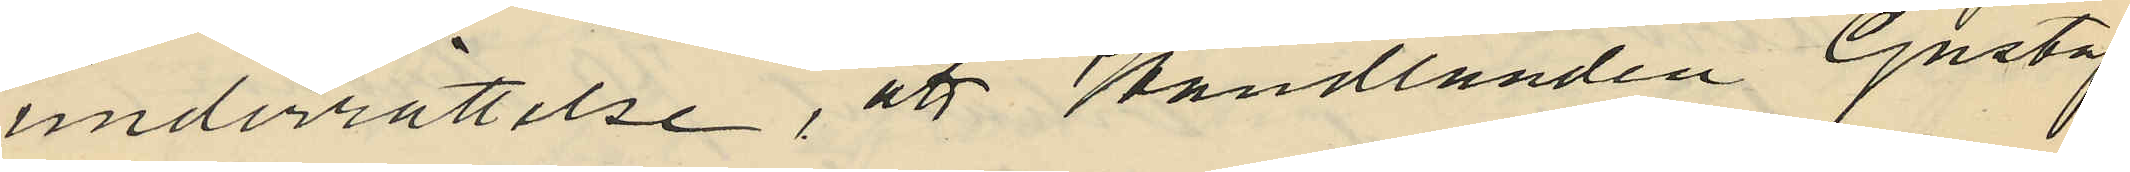underrättelse, att Handlanden Gustaf
